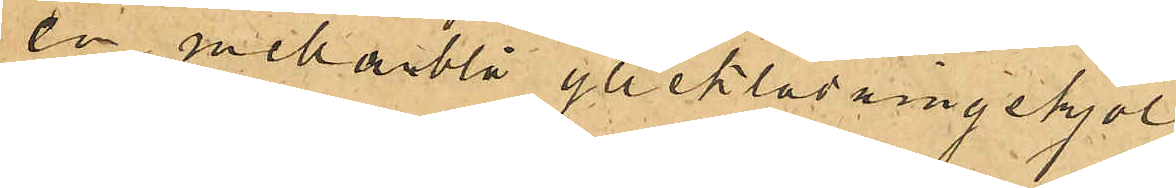en mellanblå ylleklädningskjol
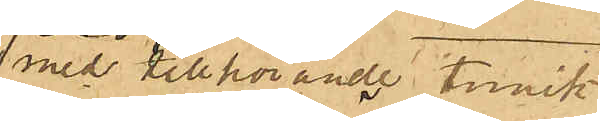med tillhörande tunik
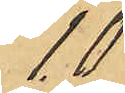10
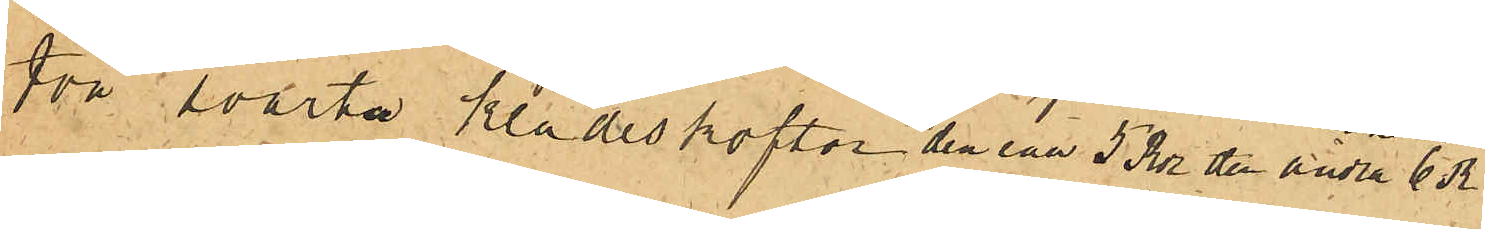två svarta klädeskoftor den ena 5 Rdr den andra 6 Rdr
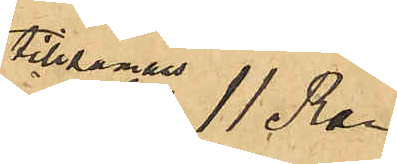tillsammans 11 Rdr
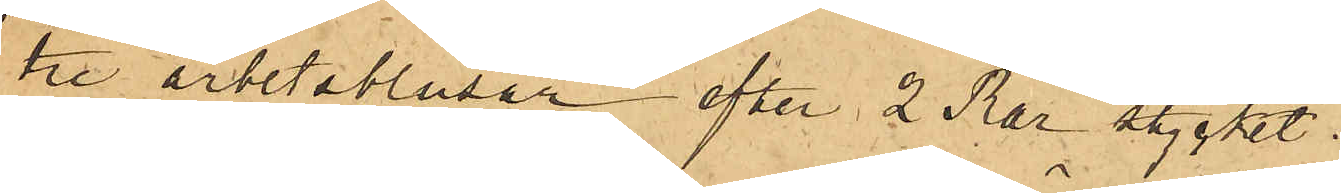tre arbetsblusar efter 2 Rdr stycket.
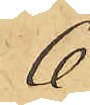6
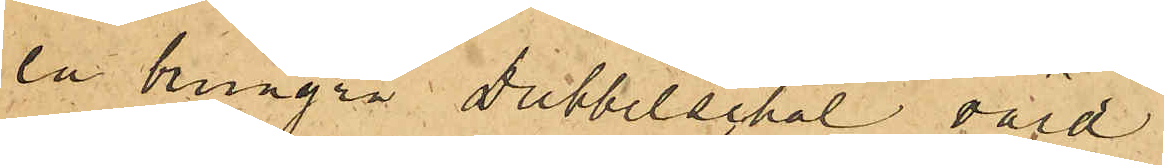en brungrå Dubbelschal värd
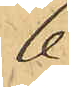6
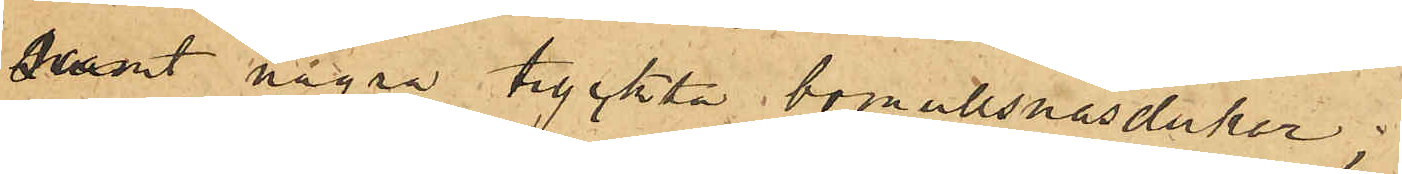samt några tryckta bomullsnäsdukar;
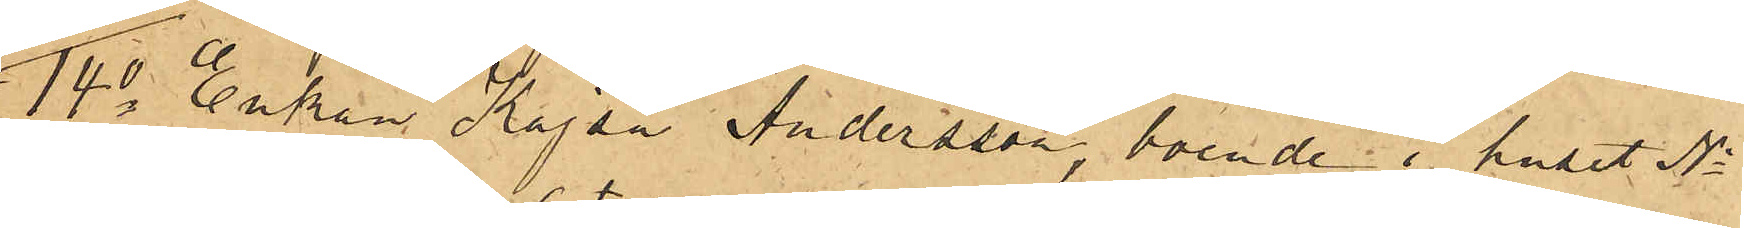14o Enkan Kajsa Andersson, boende i huset No
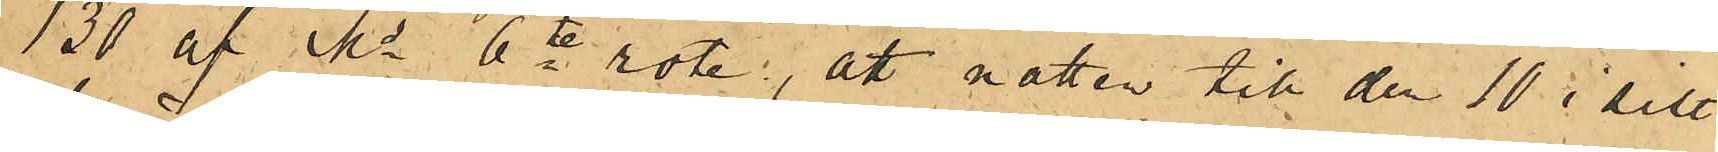130 af Ms 6te rote, att natten till den 10 i sist
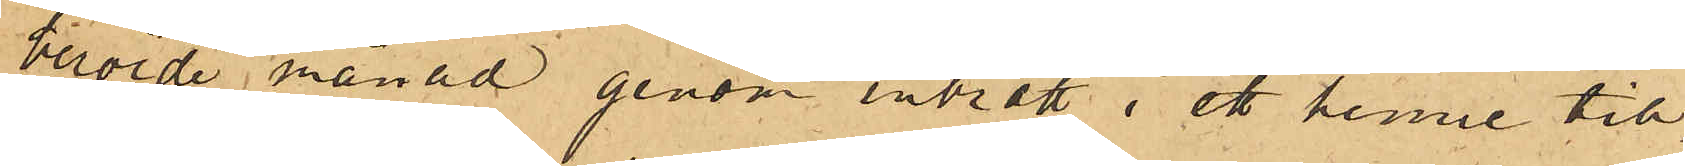berörde månad genom inbrott i ett henne till
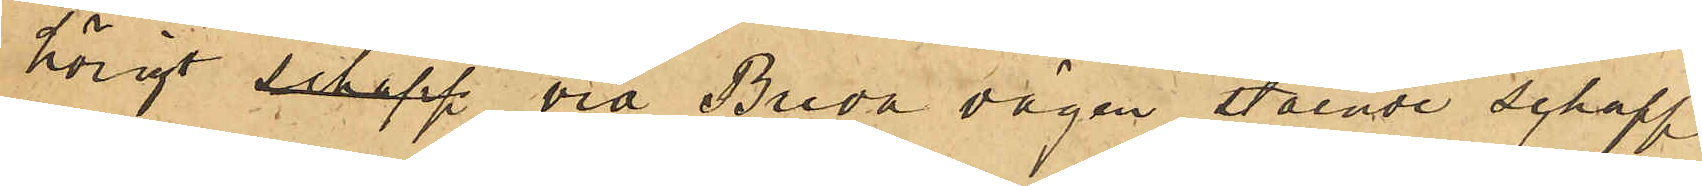hörigt schapp vid Breda vägen stående schapp
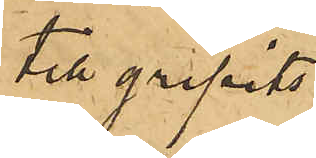tillgripits
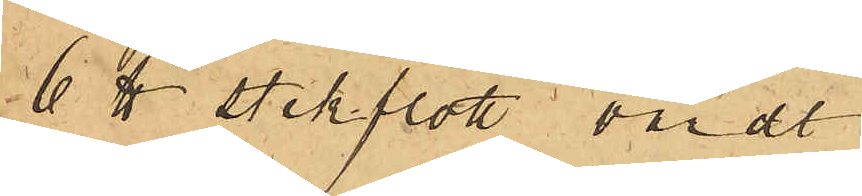6 ℔ stekflott värdt
